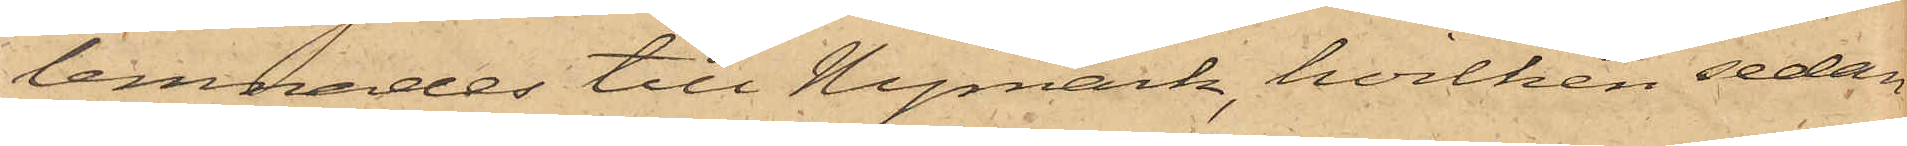lemnades till Nymark, hvilken sedan
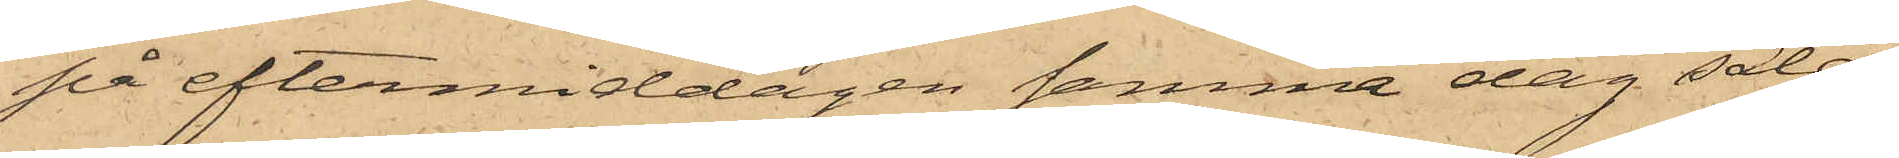på eftermiddagen samma dag sålde
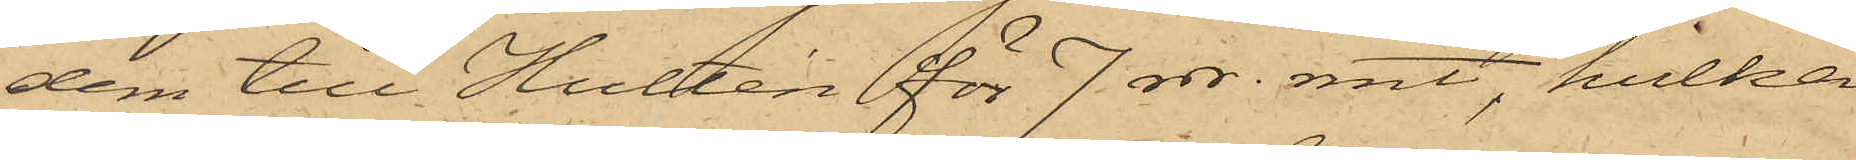dem till Hultén för 7 rdr. rmt, hvilka
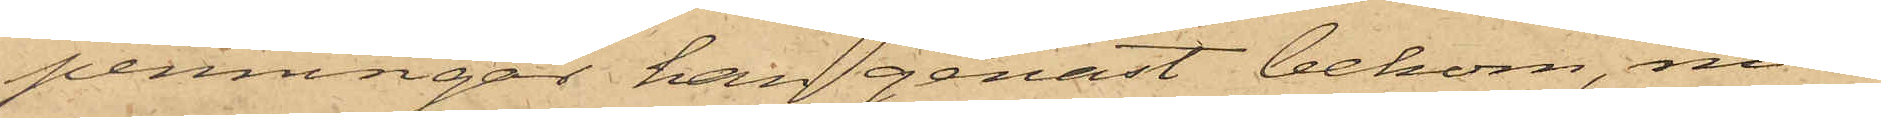penningar han genast bekom, men
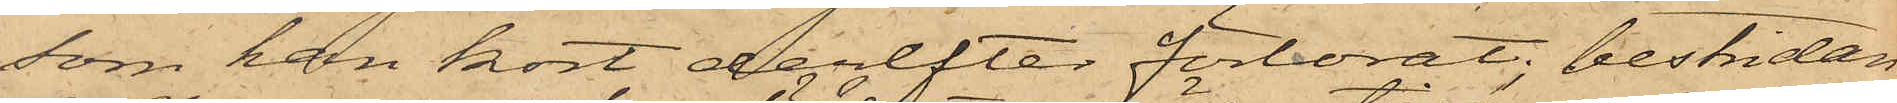som han kort derefter förlorat, bestridan¬
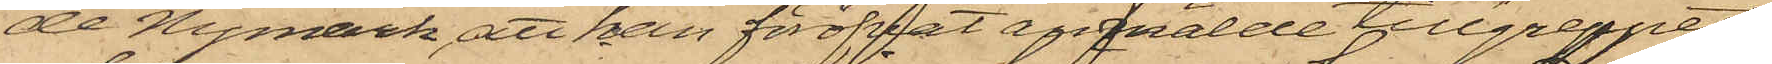de Nymark, att han föröfvat anmälde tillgreppet.
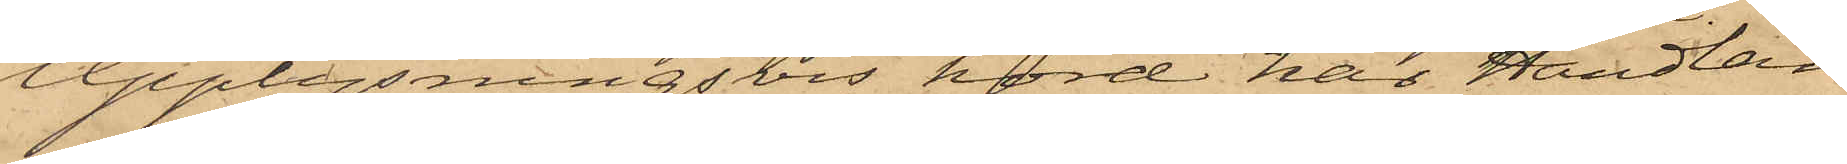Upplysningsvis hörd har Handlan¬
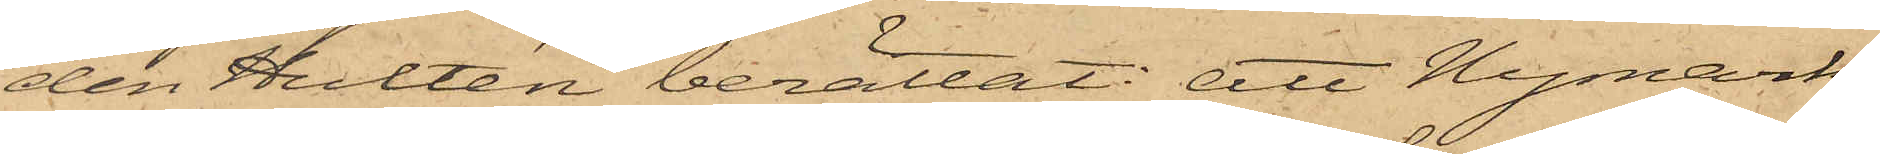den Hultén berättat: att Nymark
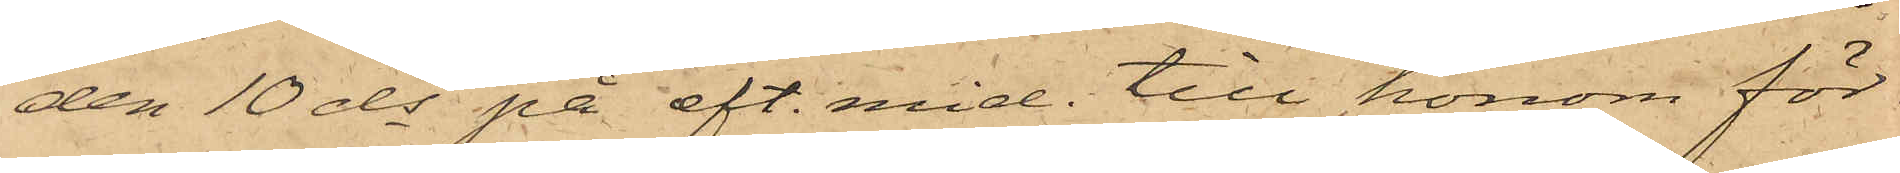den 10 ds på eft. mid. till honom för¬
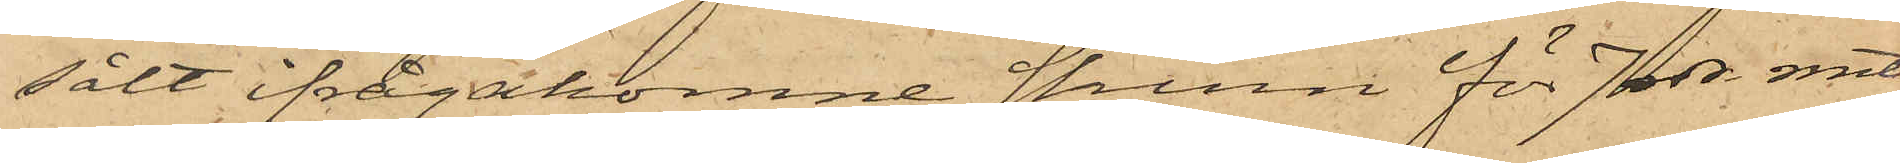sålt ifrågakomne skinn för 7 rdr. rmt,
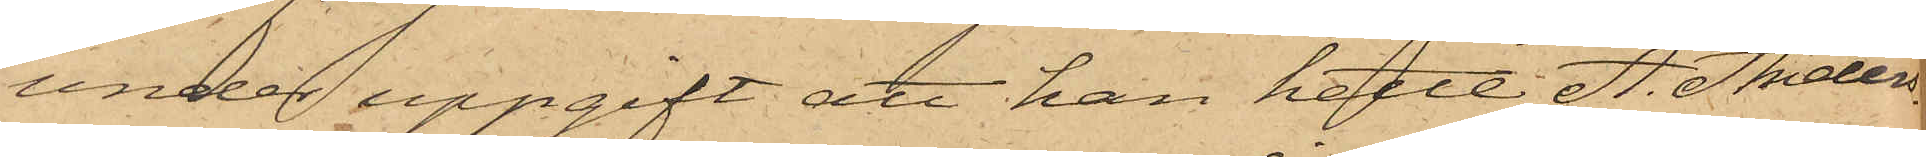under uppgift att han hette A. Anders¬
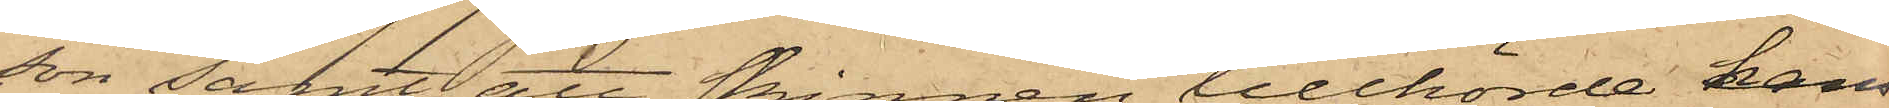son samt att skinnen tillhörde hans
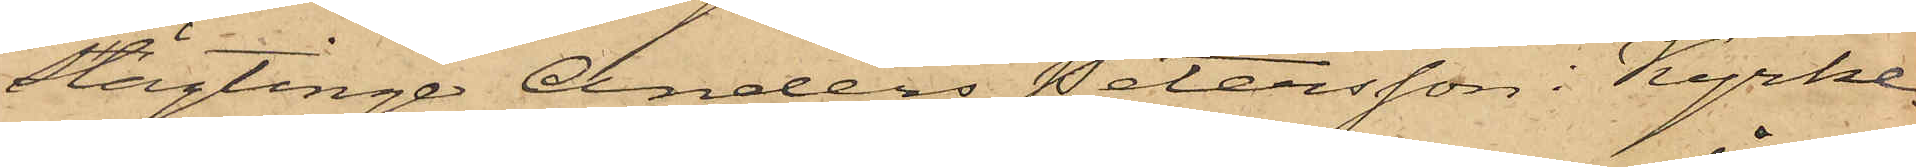slägtinge Anders Petersson i Kyrke¬
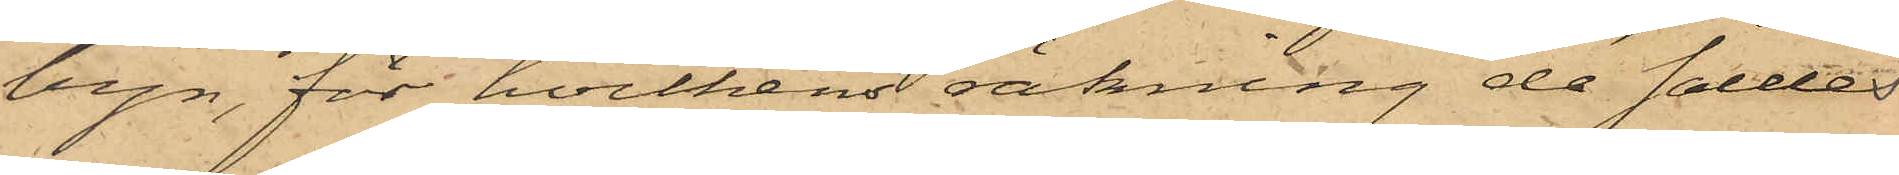byn, för hvilkens räkning de såldes
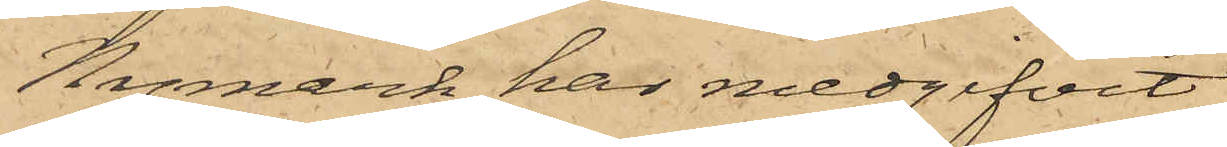Nymark har medgifvit
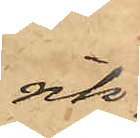rik¬
